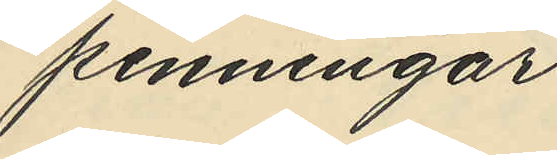penningar
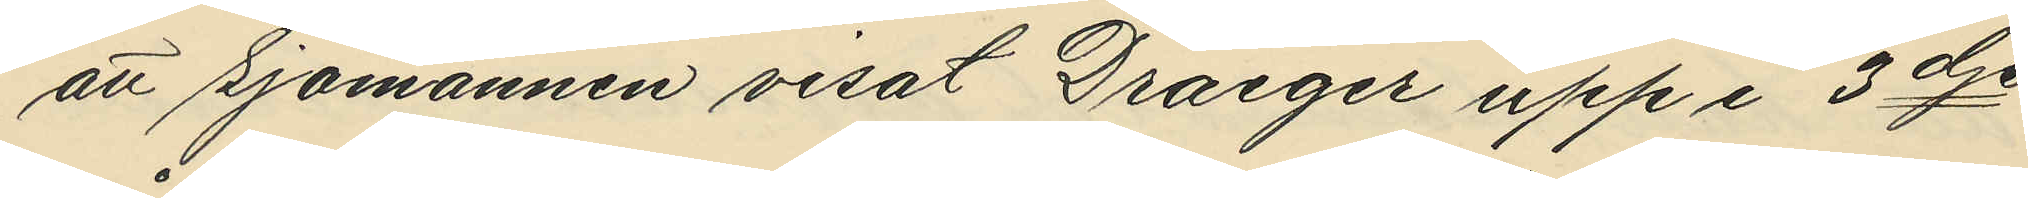att Sjömannen visat Draeger upp i 3dje
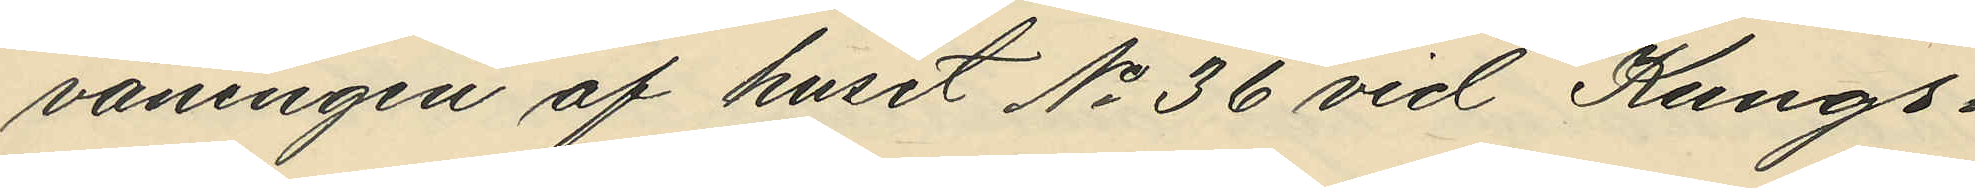våningen af huset No 36 vid Kungs¬
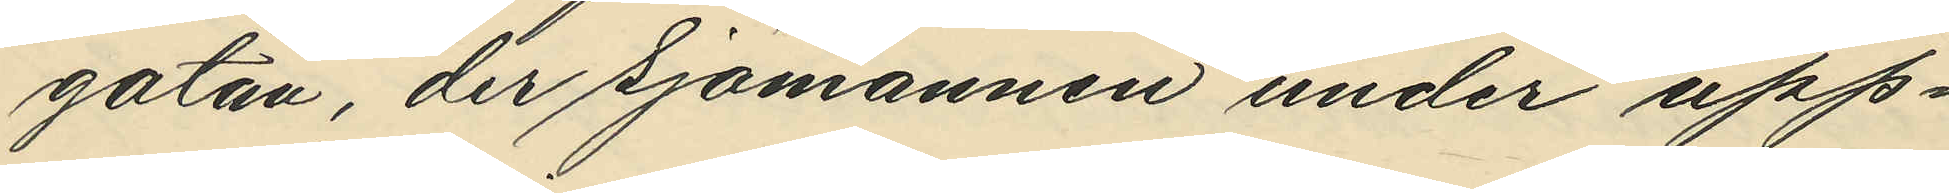gatan, der Sjömannen under upp¬
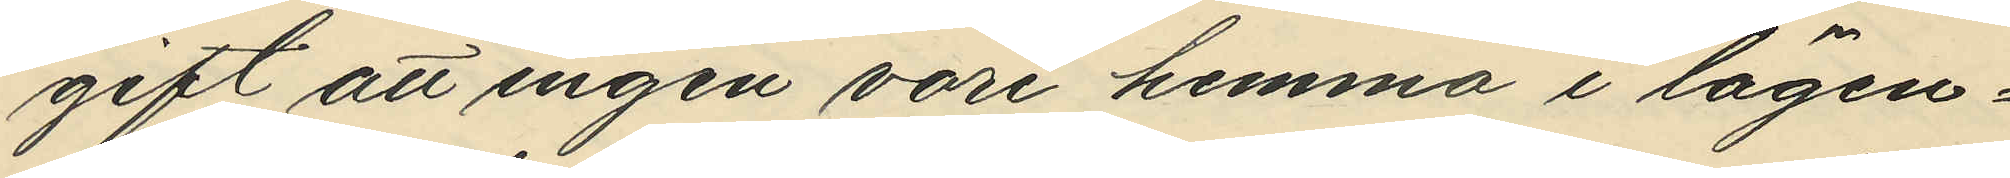gift att ingen vore hemma i lägen¬
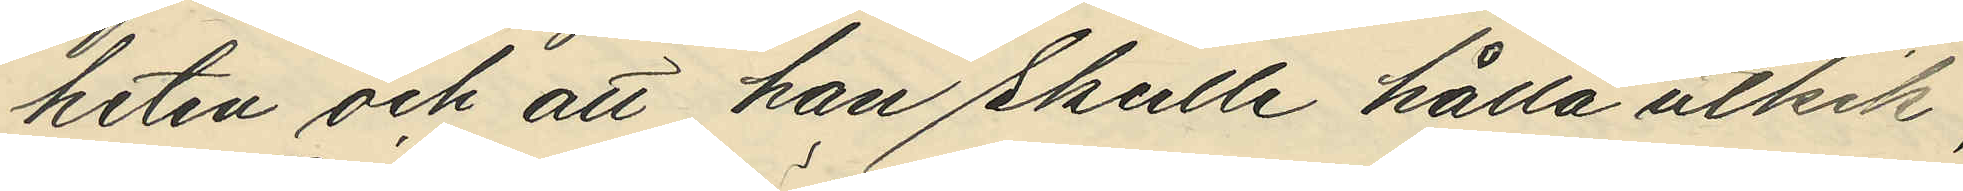heten och att han skulle hålla utkik,
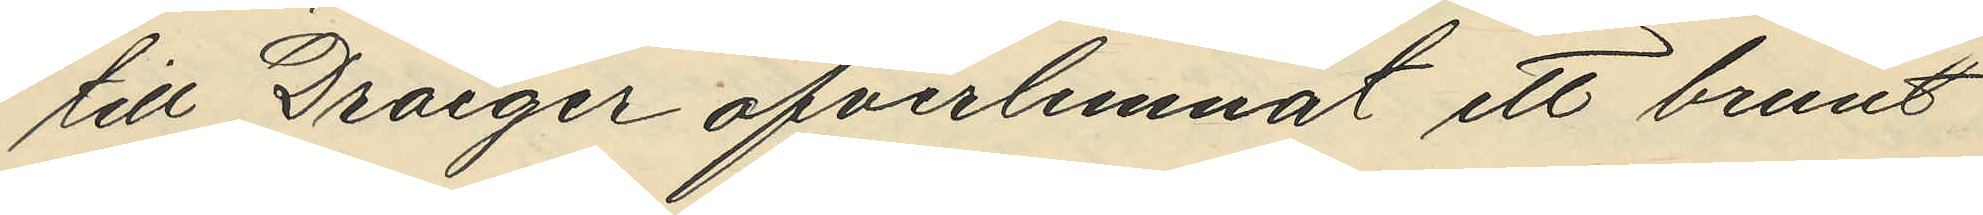till Draeger öfverlemnat ett brunt
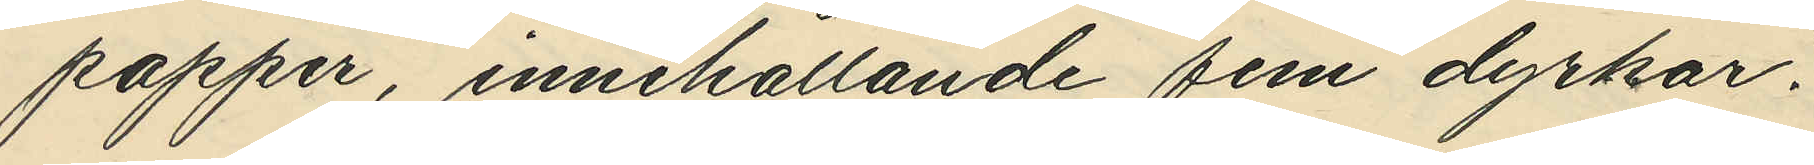papper, innehållande fem dyrkar.
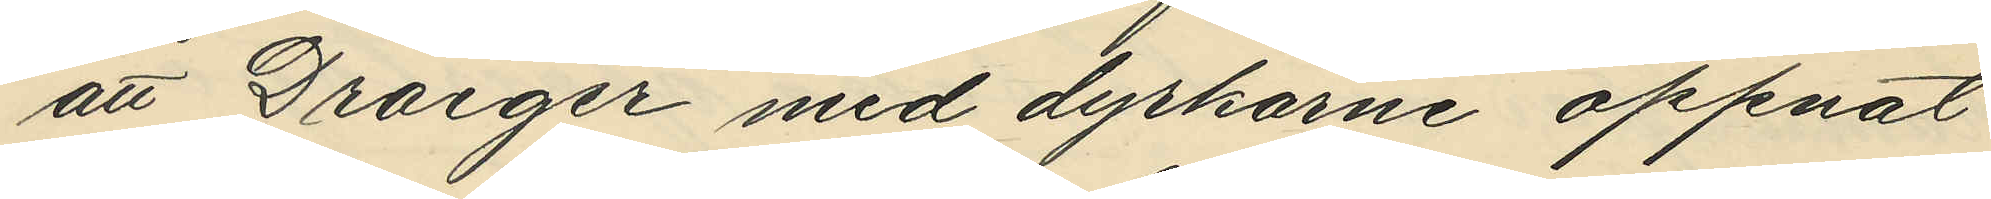att Draeger med dyrkarne öppnat
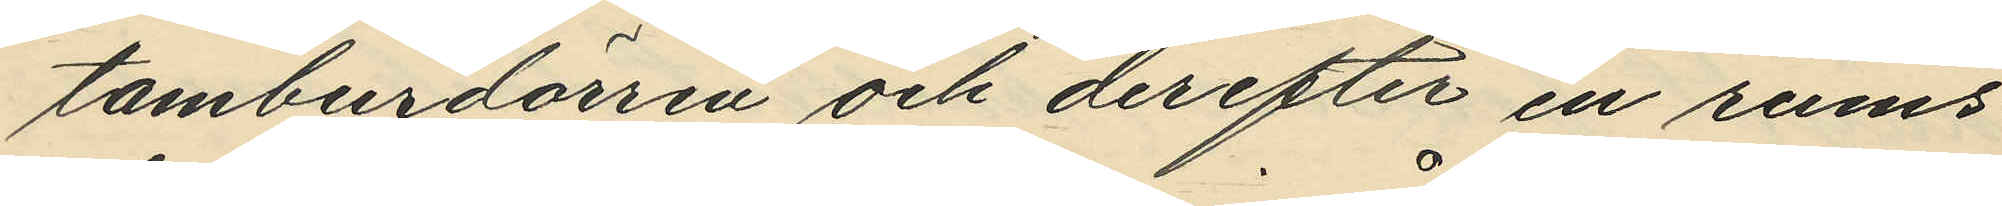tamburdörren och derefter en rums¬
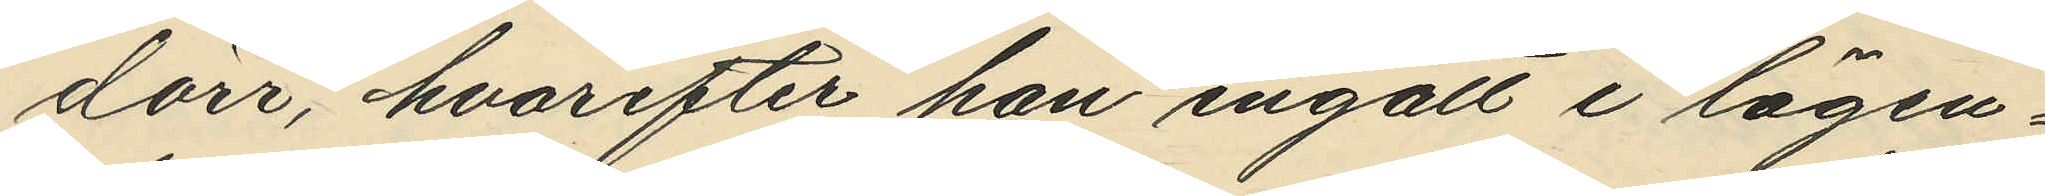dörr, hvarefter han ingått i lägen¬
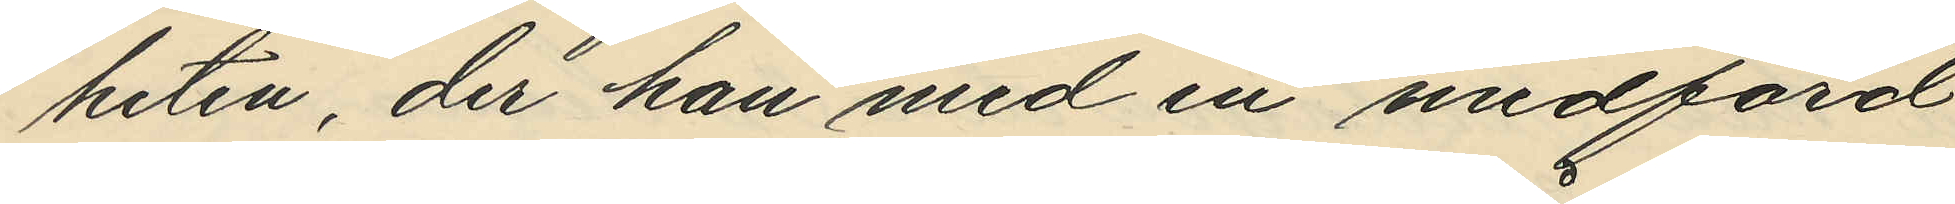heten, der han med en medförd
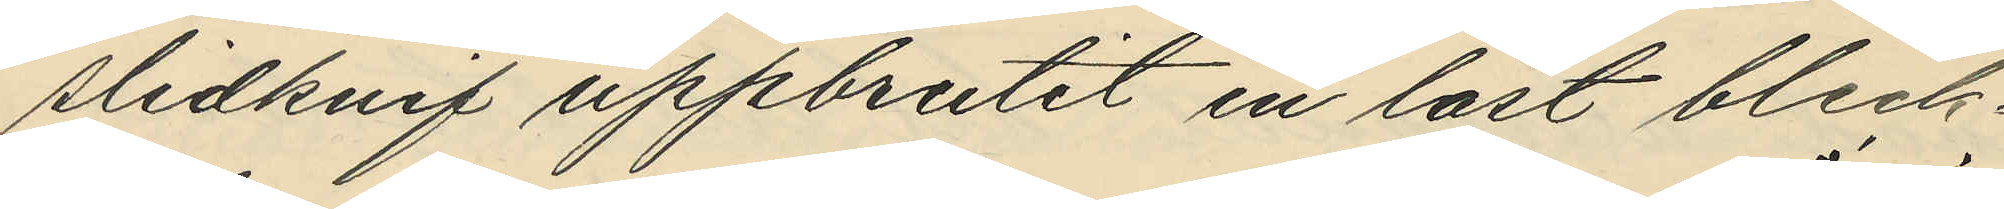slidknif uppbrutit en låst bleck¬
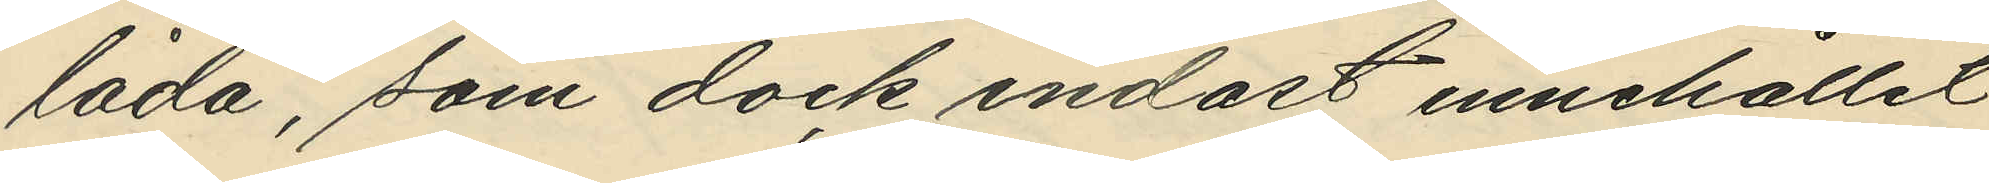låda, som dock endast innehållit
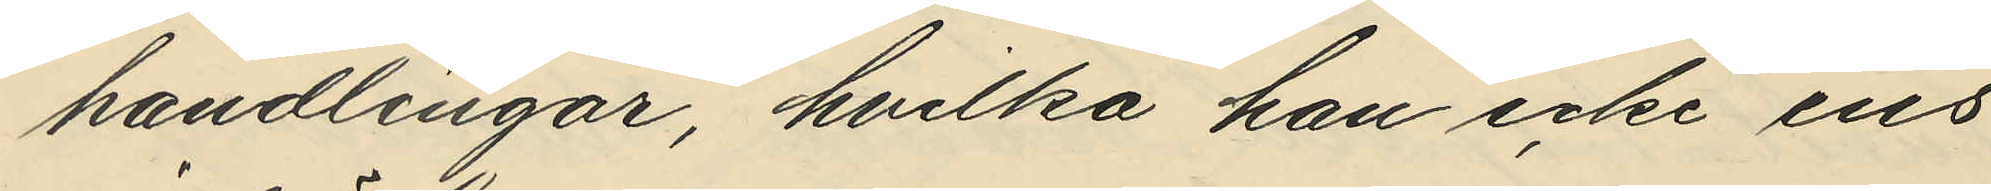handlingar, hvilka han icke ens
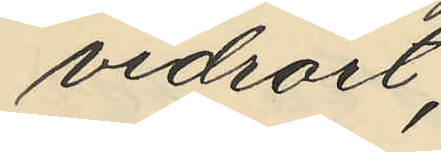vidrört;
